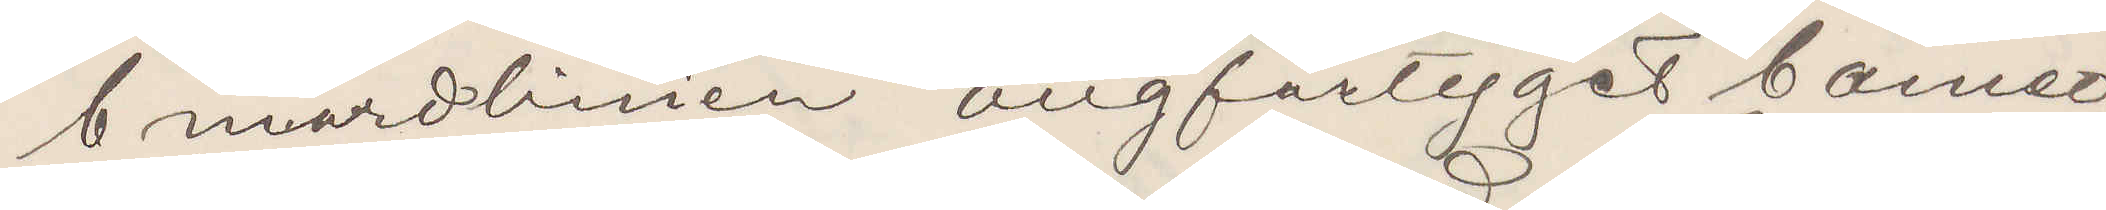Cunardlinien Ångfartyget Cameo
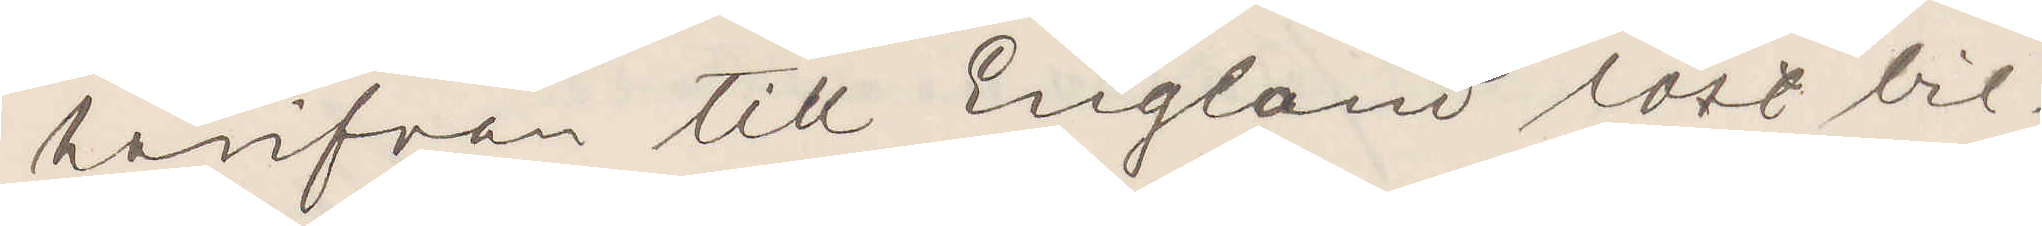härifrån till England löst bil¬
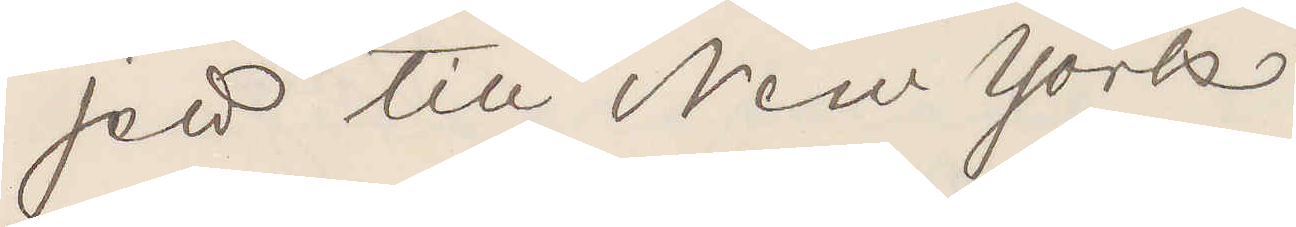jett till New York.
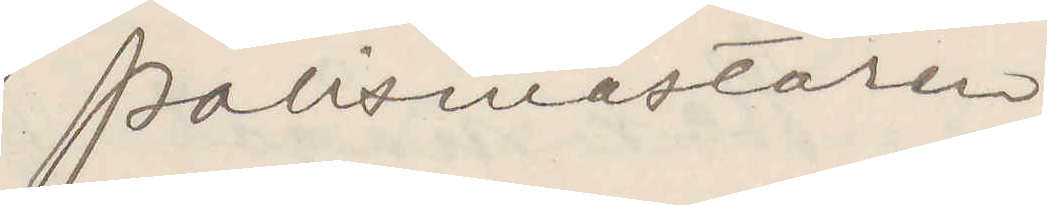Polismästaren
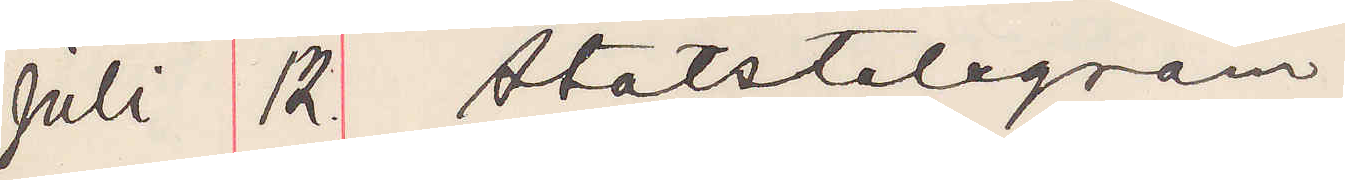Juli 12 Statstelegram.
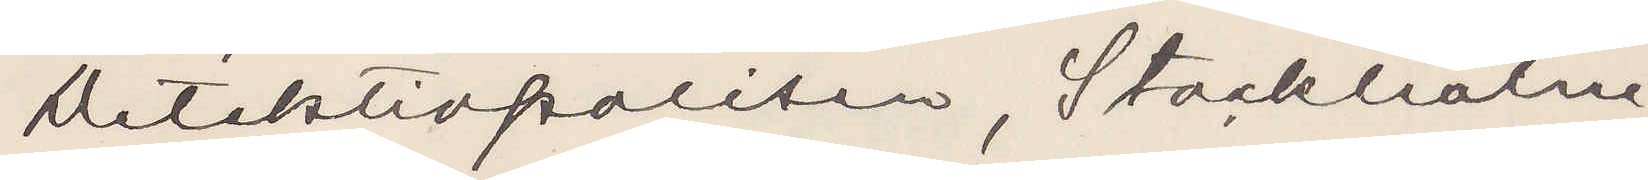Detektivpolisen, Stockholm.
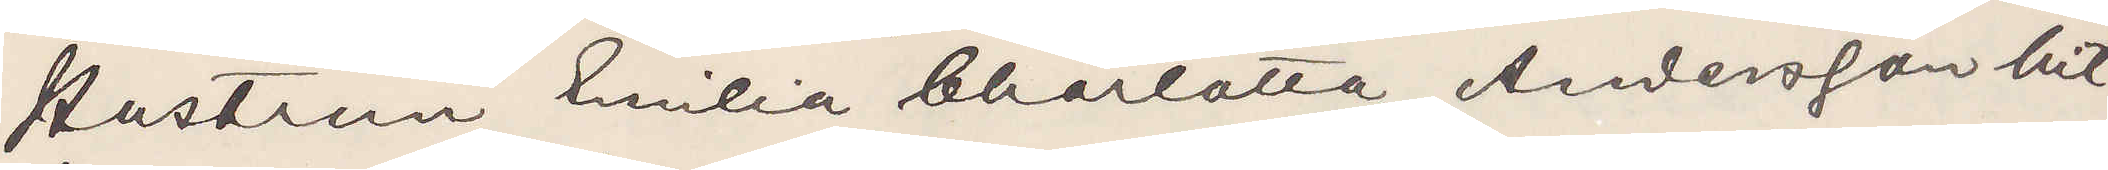Hustrun Emilia Charlotta Andersson hit¬
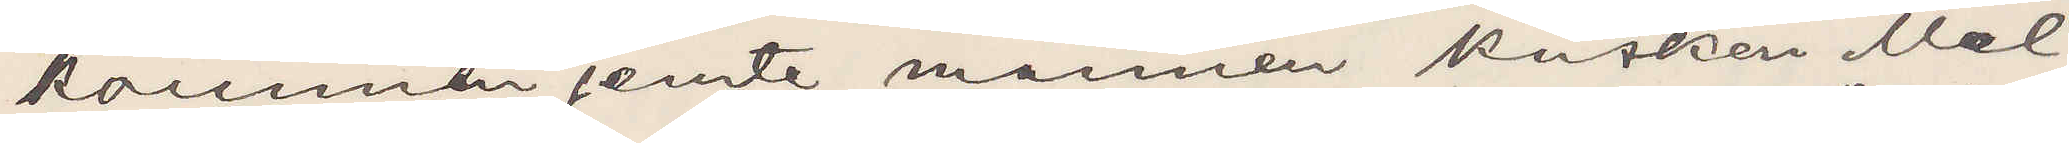kommen jemte mannen Kusken Mel¬
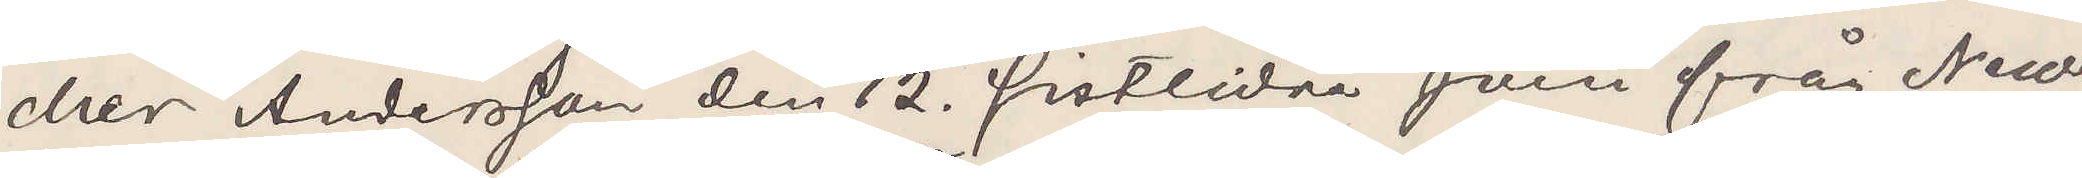cher Andersson den 12 sistliden Juni från New¬
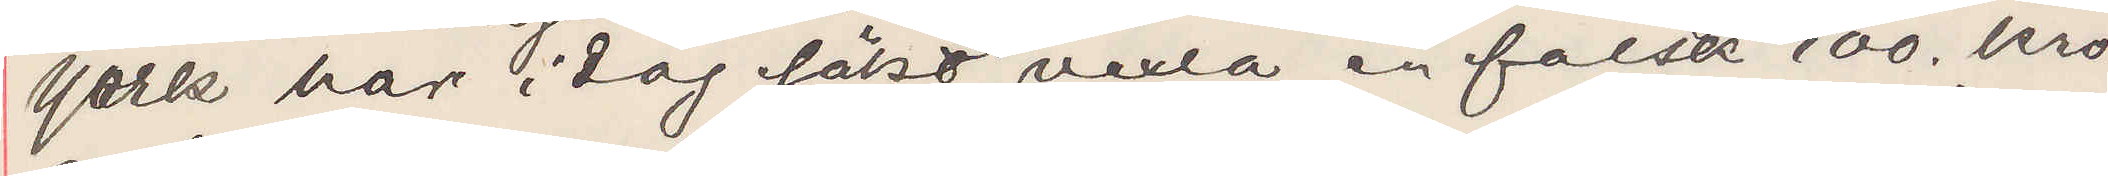York har idag sökt vexla en falsk 100 kro¬
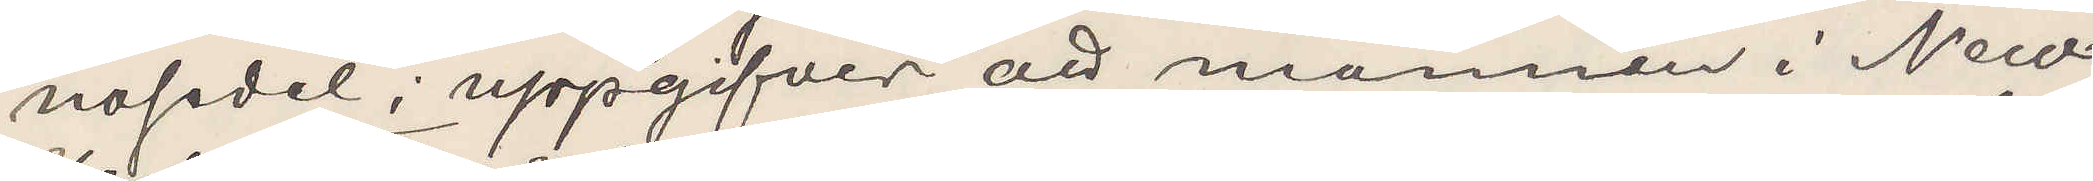nosedel uppgifver att mannen i New¬
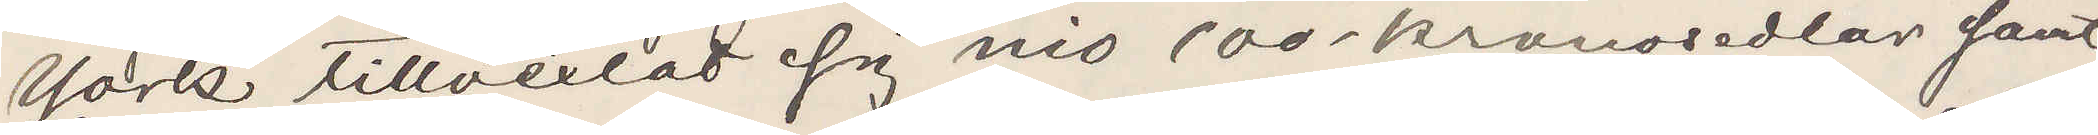York tillvexlat sig nio 100 kronosedlar samt
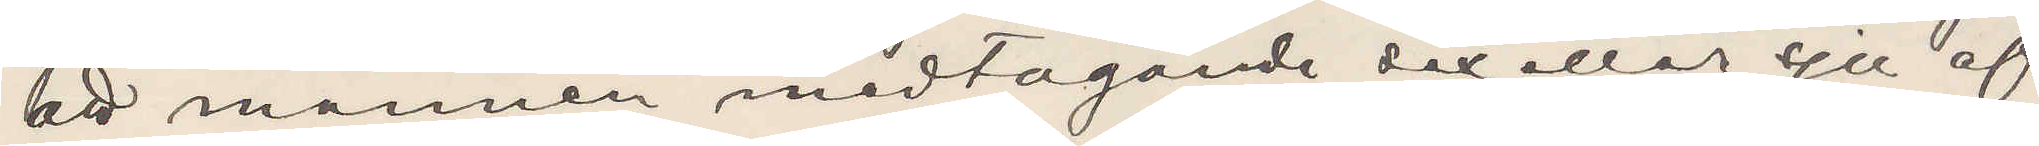att mannen medtagande sex eller sju af
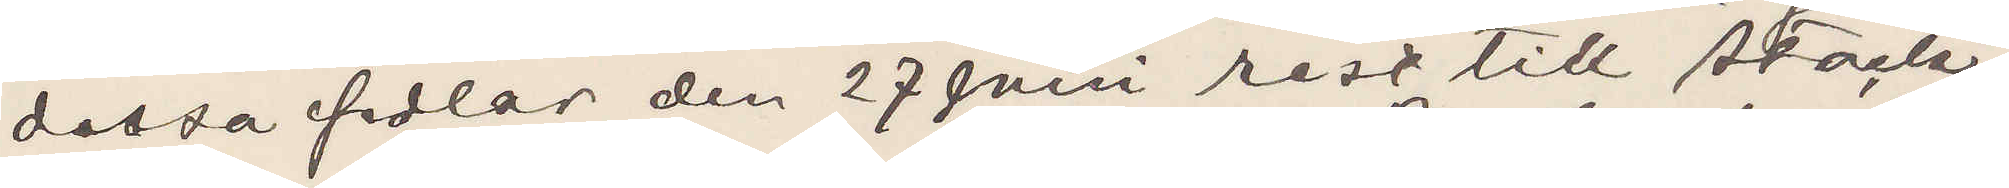dessa sedlar den 27 Juni rest till Stock¬
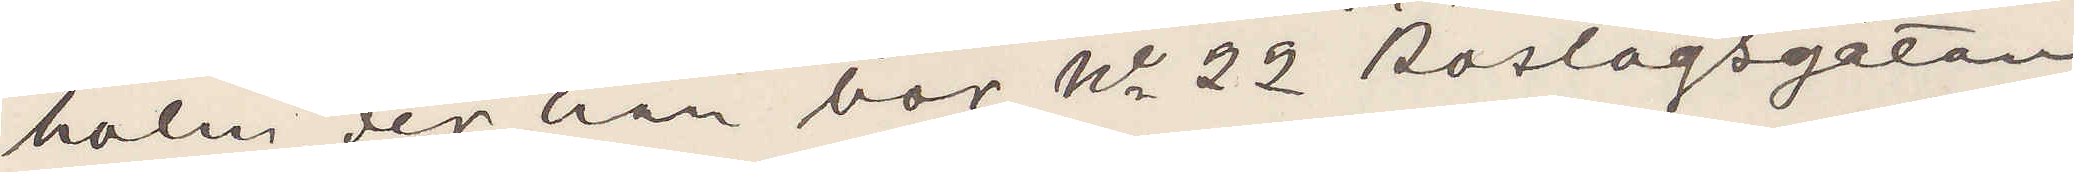holm der han bor No 22 Roslagsgatan
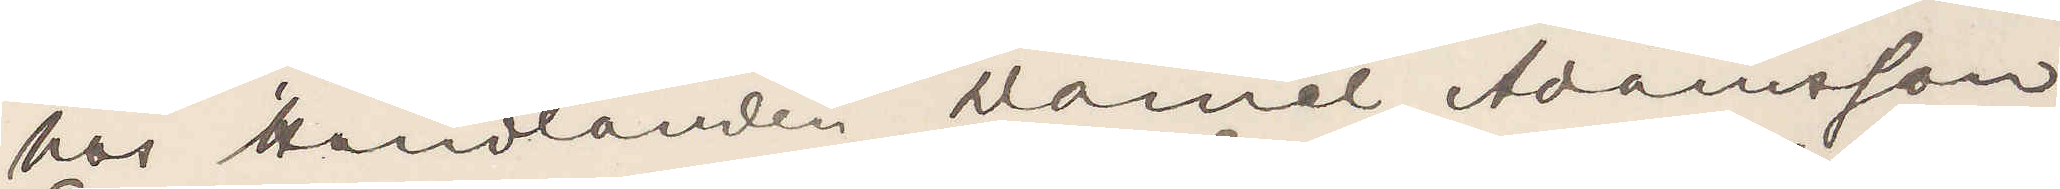hos Handlanden Daniel Adamsson
